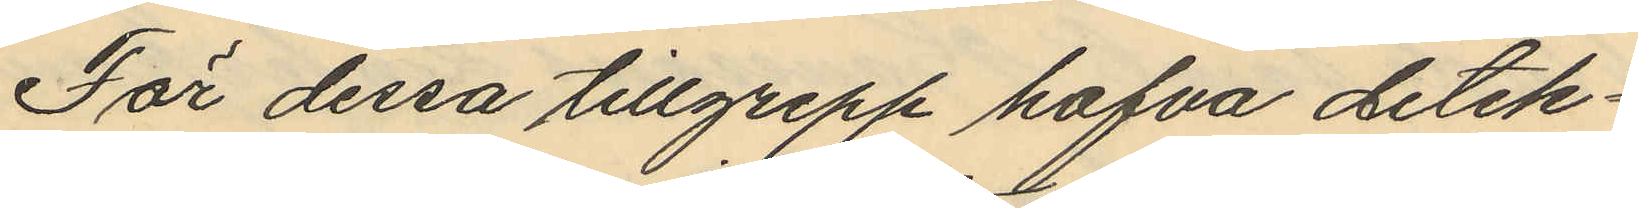För dessa tillgrepp hafva detek¬
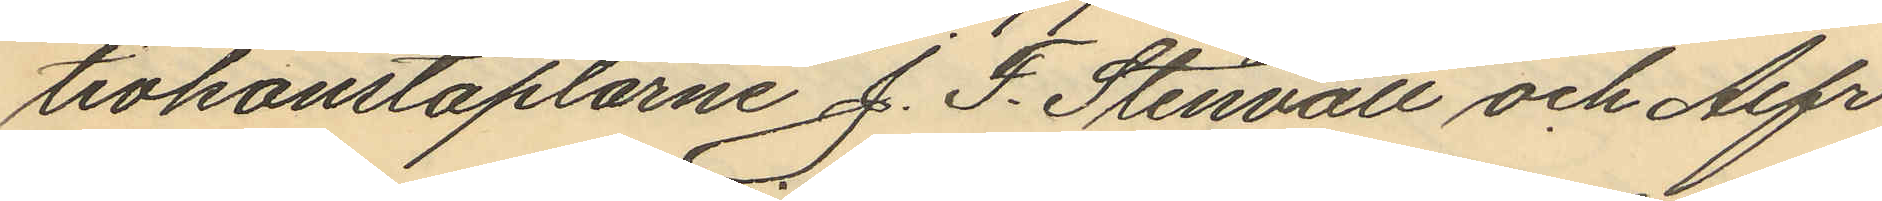tivkonstaplarne J. F. Stenvall och Alfr
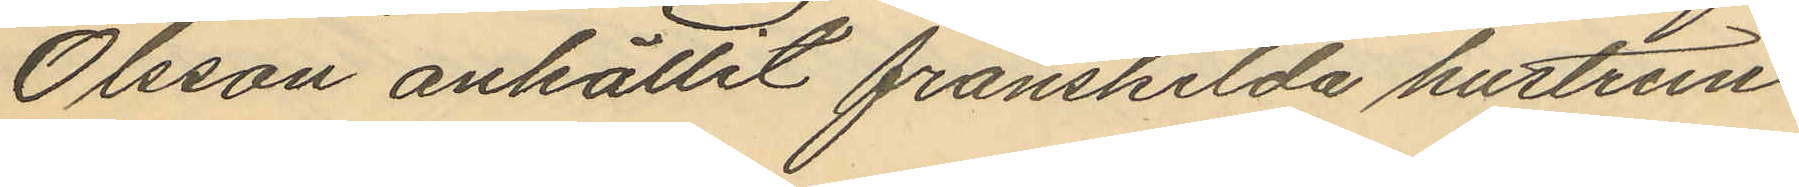Olsson anhållit frånskilda hustrun
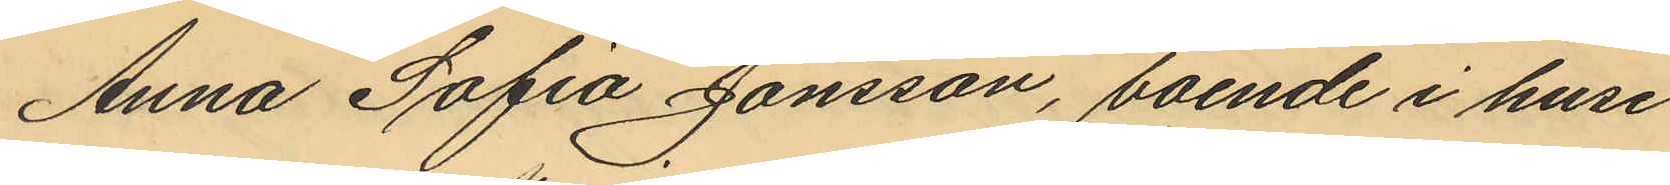Anna Sofia Jonsson, boende i huset No
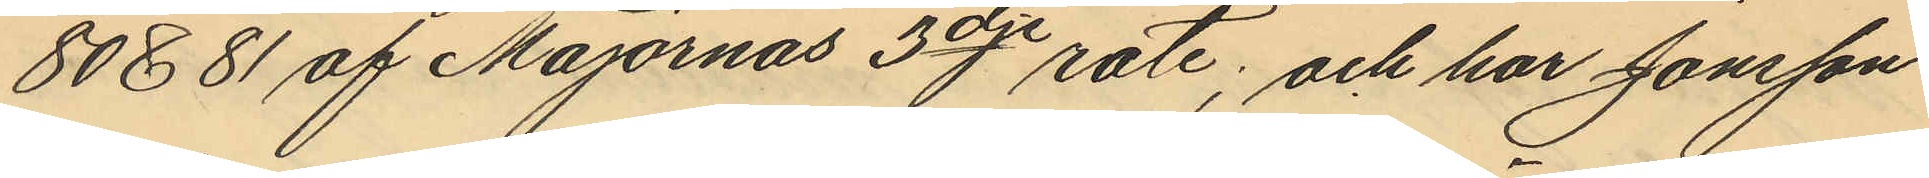80 & 81 af Majornas 3dje rote; och har Jonsson
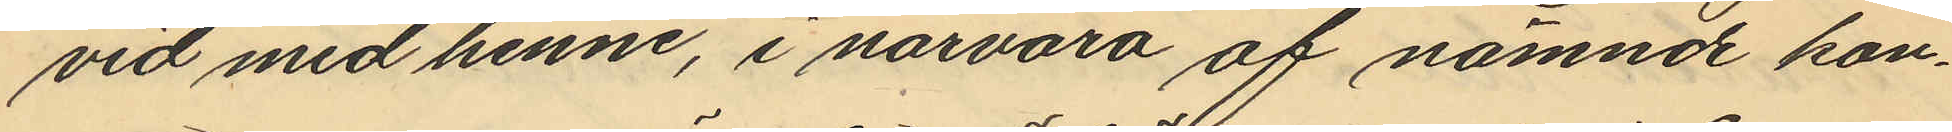vid med henne, i närvaro af nämnde kon¬
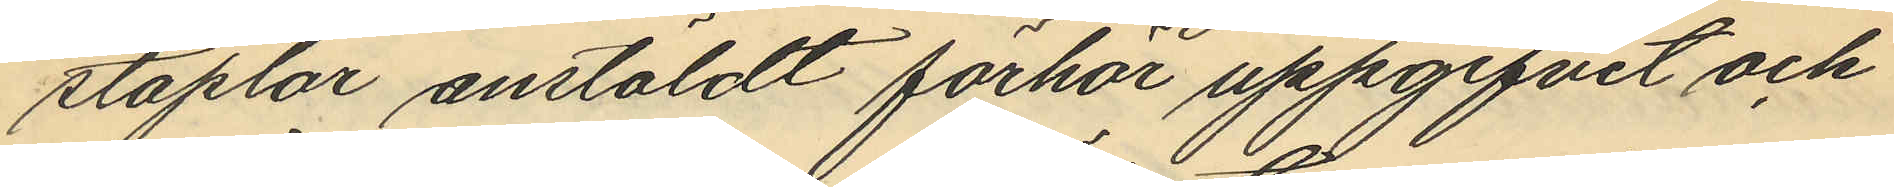staplar anstäldt förhör uppgifvit och
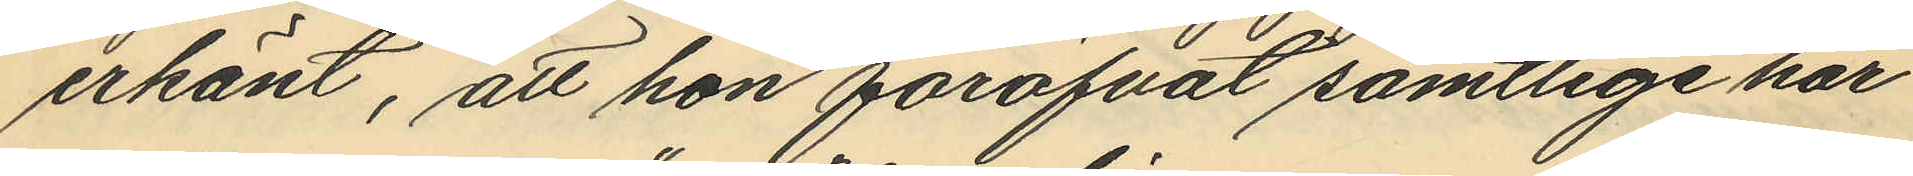erkänt, att hon föröfvat samtlige här
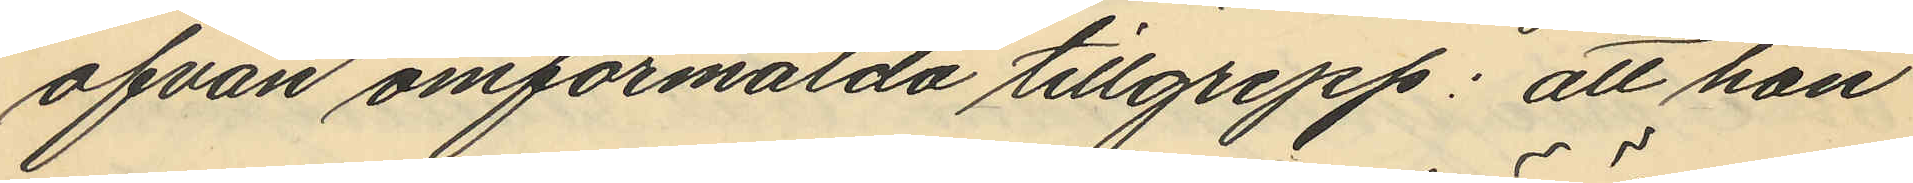ofvan omförmälda tillgrepp; att hon
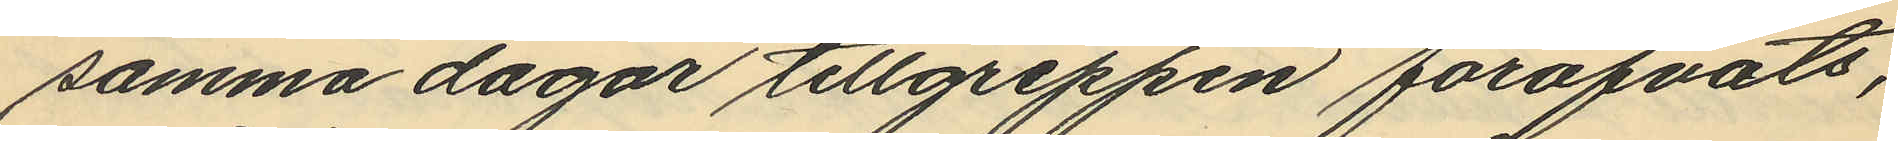samma dagar tillgreppen föröfvats,
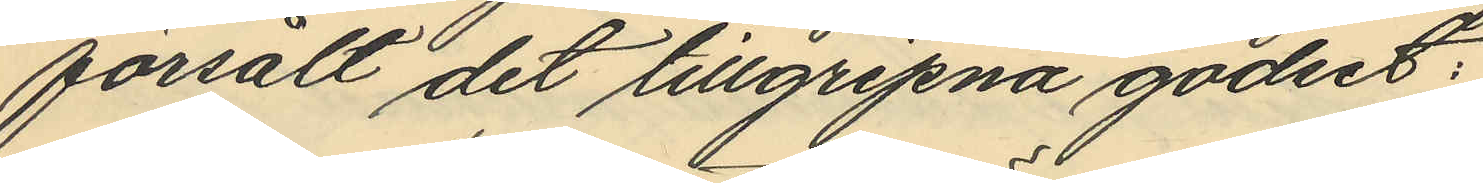försålt det tillgripna godset:
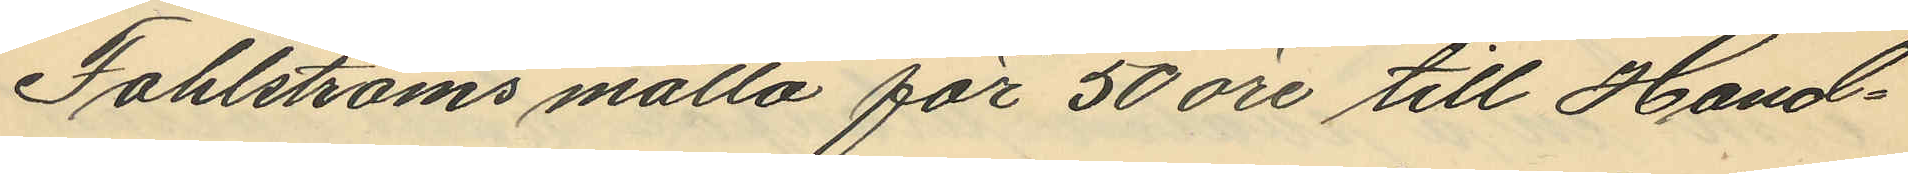Fahlströms matta för 50 öre till Hand¬
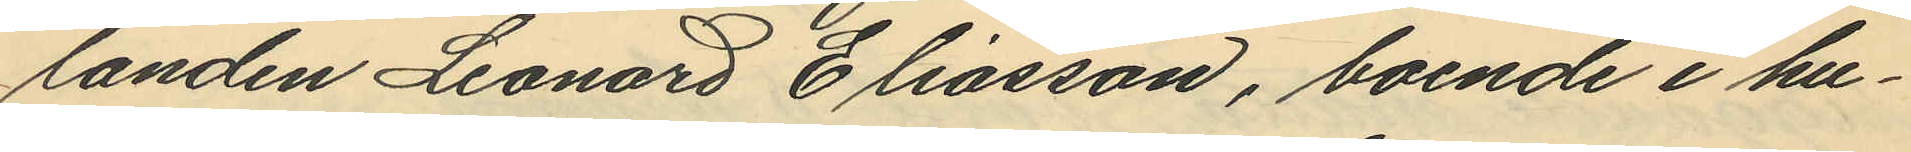landen Leonard Eliasson, boende i hu¬
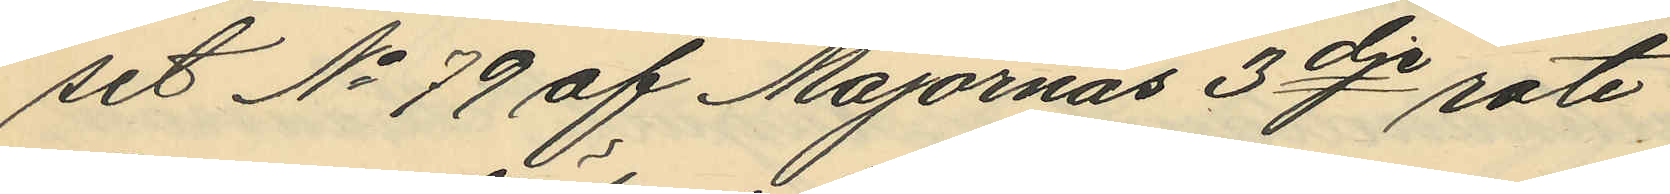set No 79 af Majornas 3dje rote
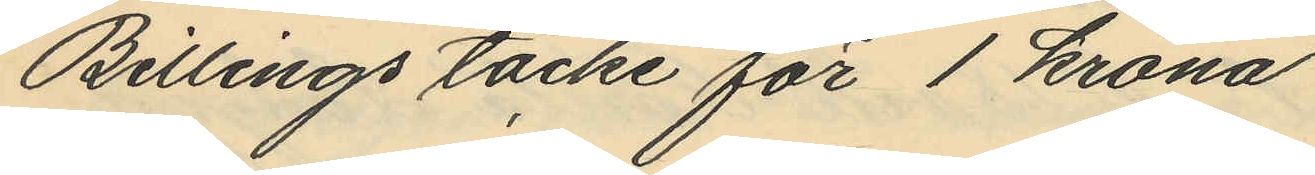Billings täcke för 1 krona
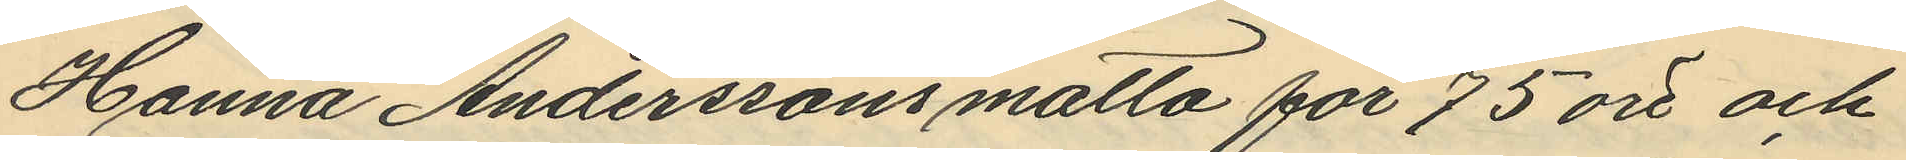Hanna Anderssons matta för 75 öre och
